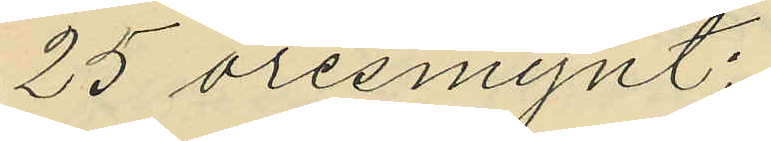25 öresmynt:
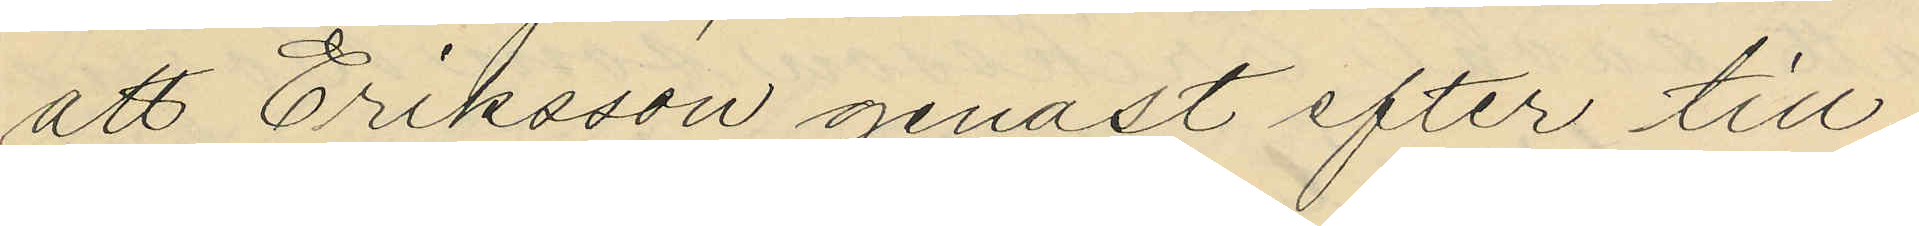att Eriksson genast efter till
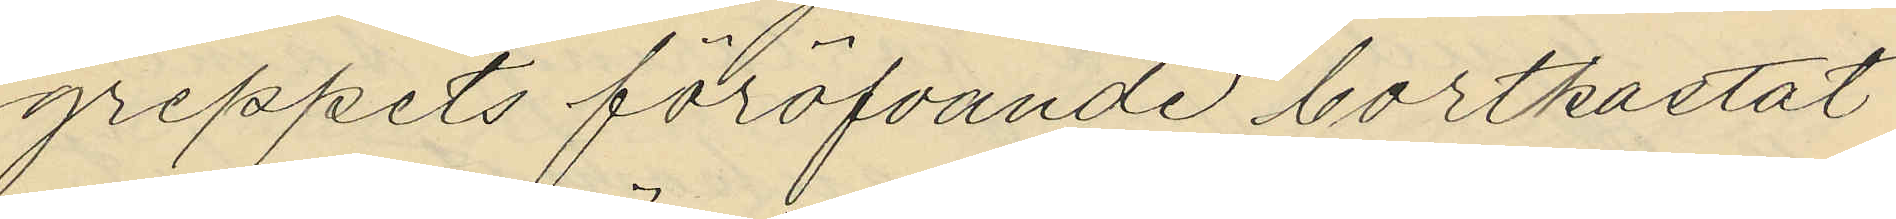greppets föröfvande bortkastat
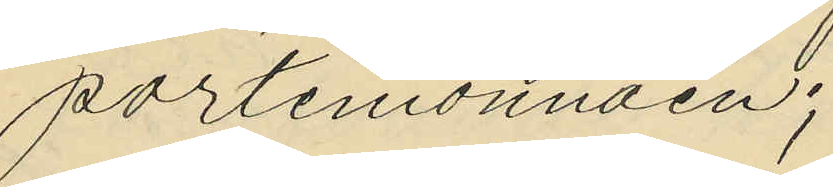portmonnäen;
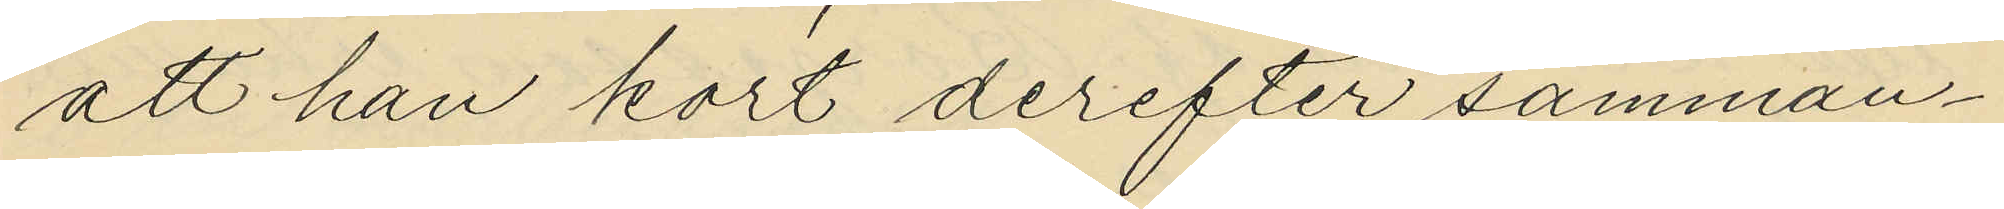att han kort derefter samman¬
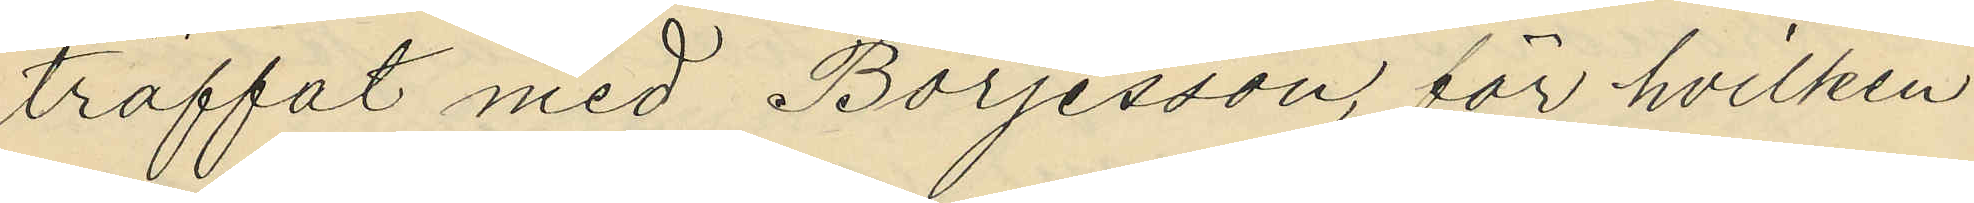träffat med Börjesson, för hvilken
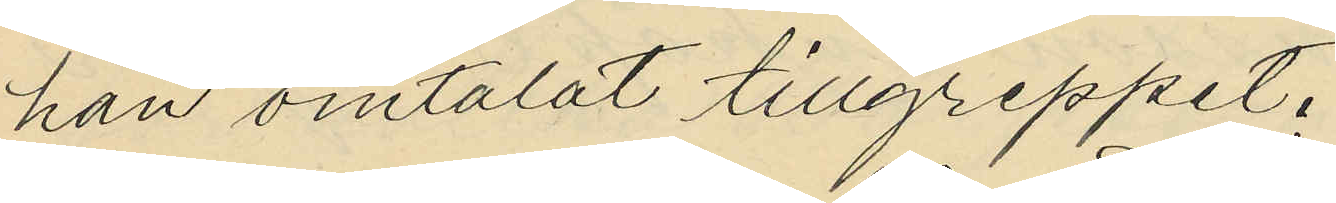han omtalat tillgreppet.
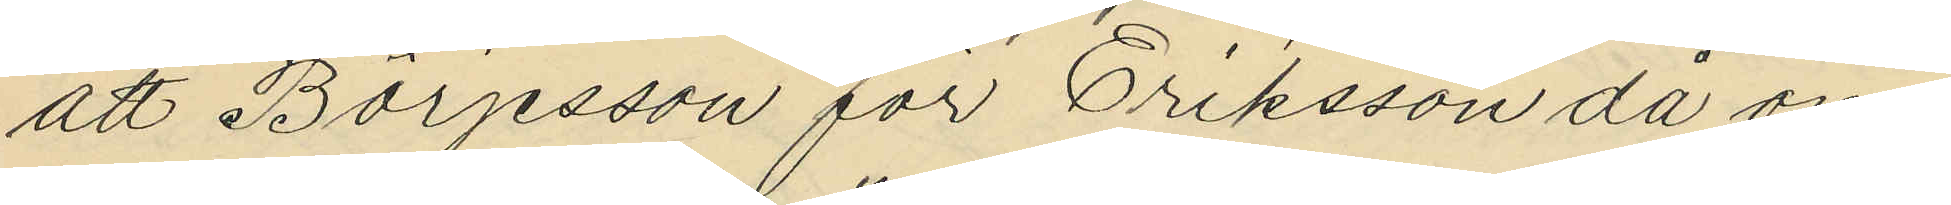att Börjesson för Eriksson då om¬
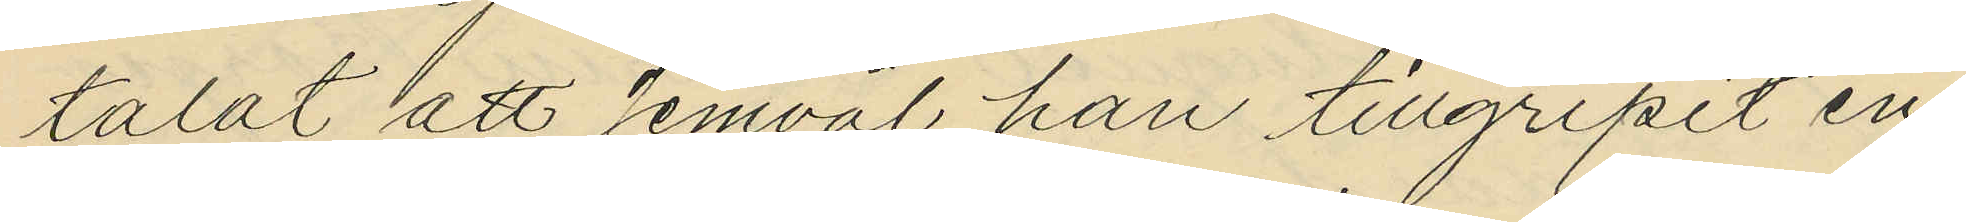talat att jemväl han tillgripit en
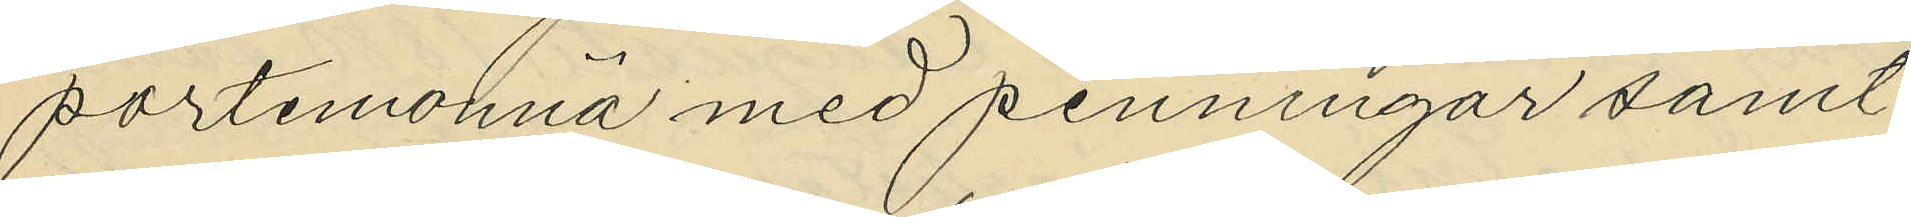portemonnä med penningar samt
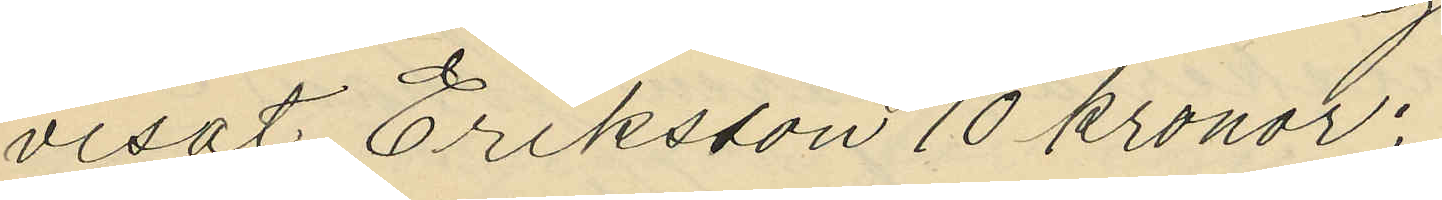visat Eriksson 10 kronor;
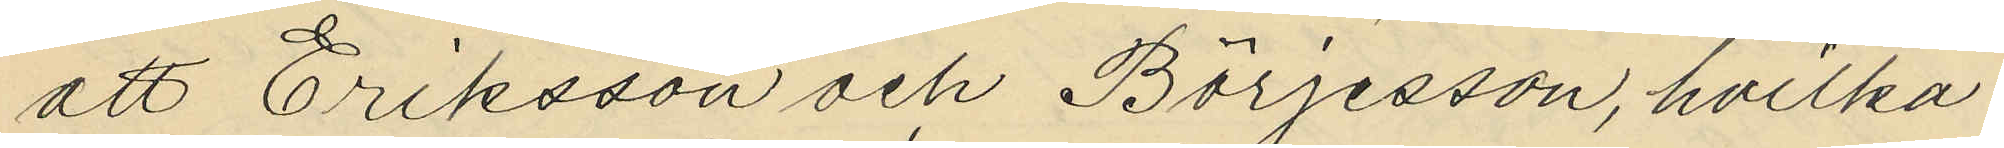att Eriksson och Börjesson, hvilka
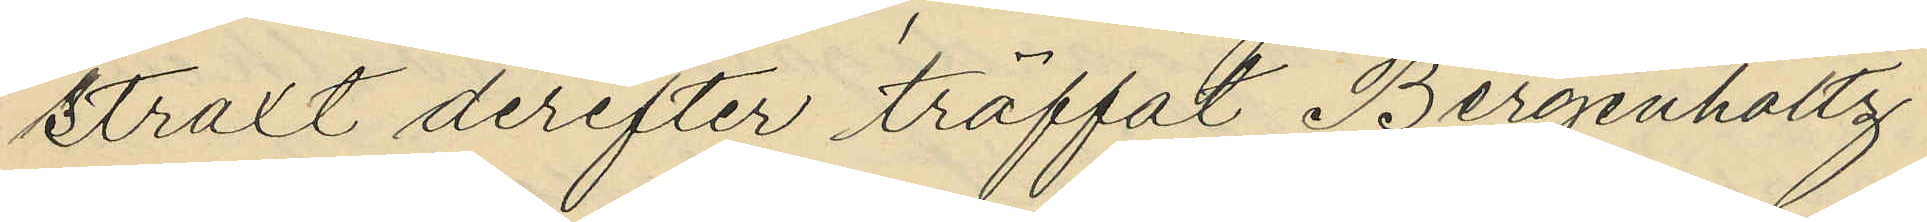straxt derefter träffat Bergenholtz
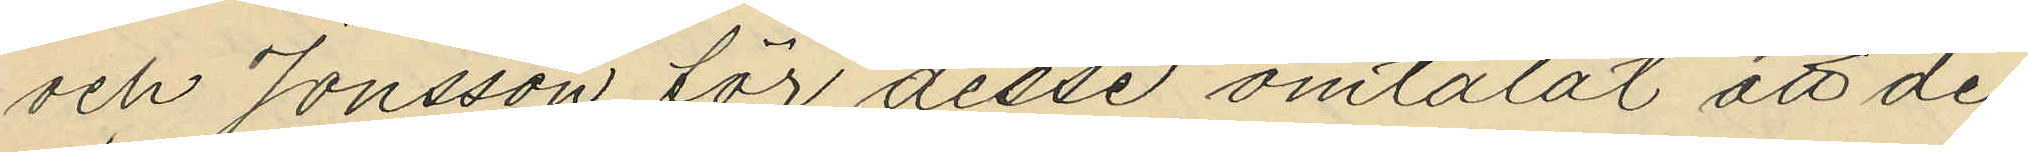och Jonsson för desse omtalat att de
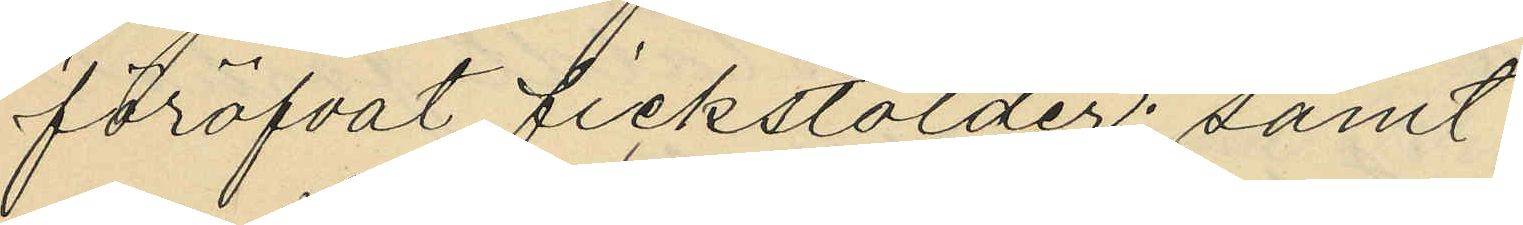föröfvat fickstölder; samt
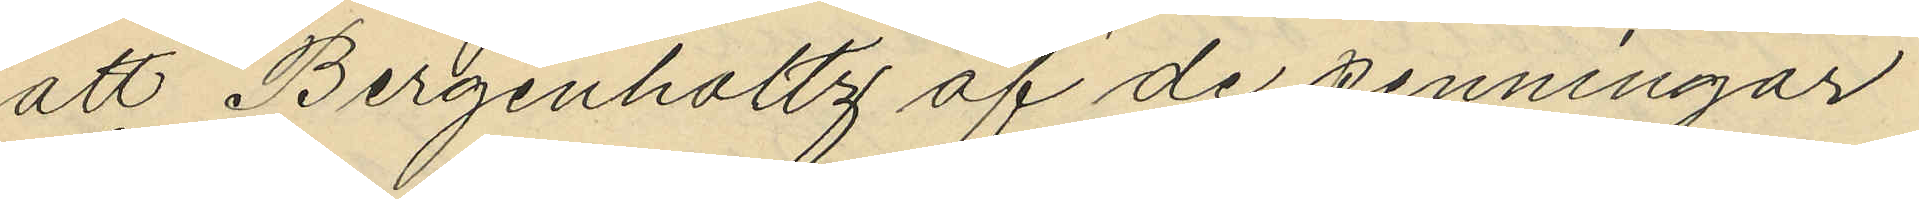att Bergenholtz af de penningar
